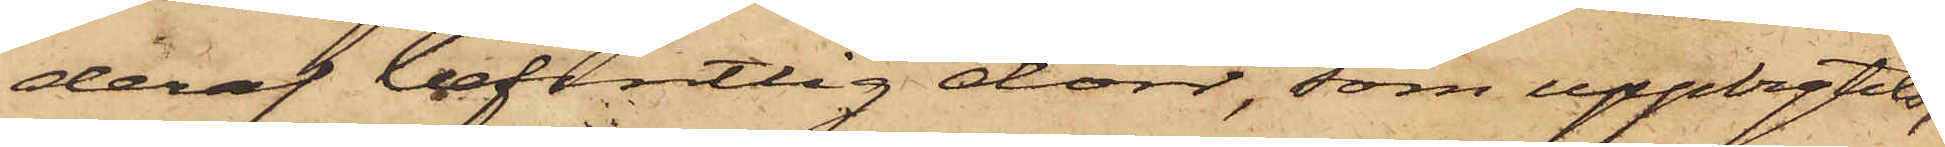deraf befintlig dörr, som uppbrytits,
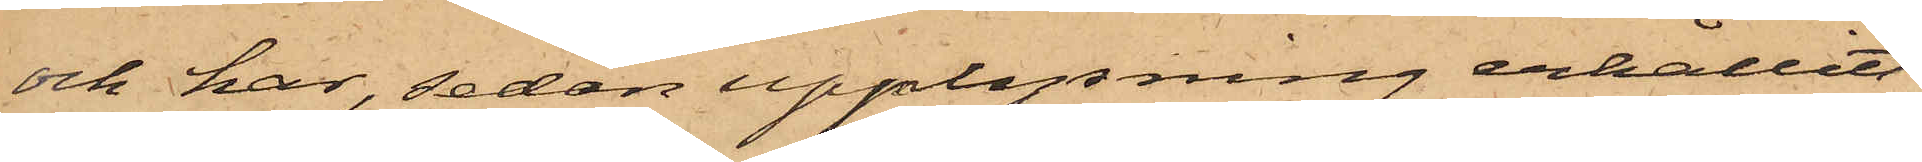och har, sedan upplysning erhållits
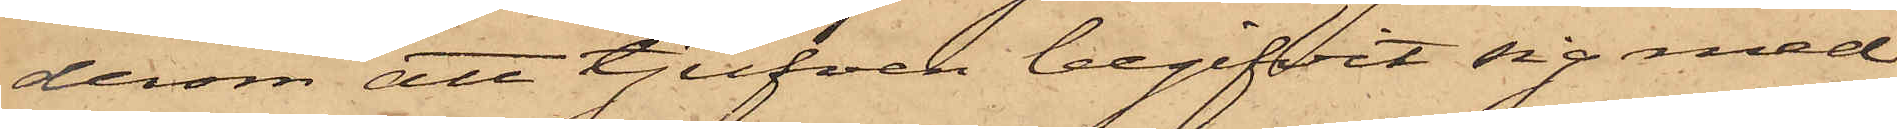derom att tjufven begifvit sig med
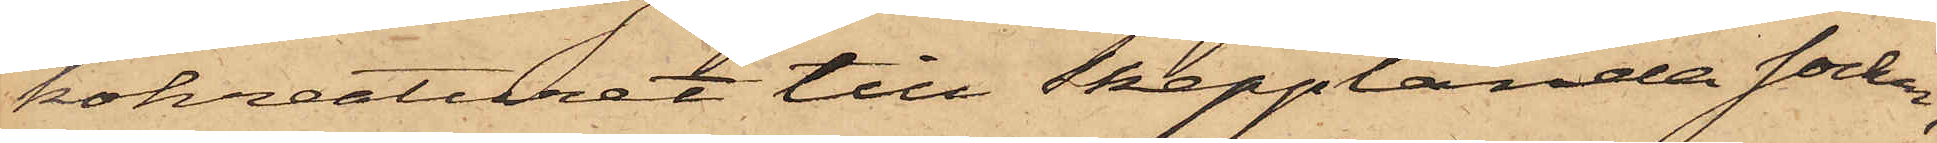kokreaturet till Skepplanda socken,
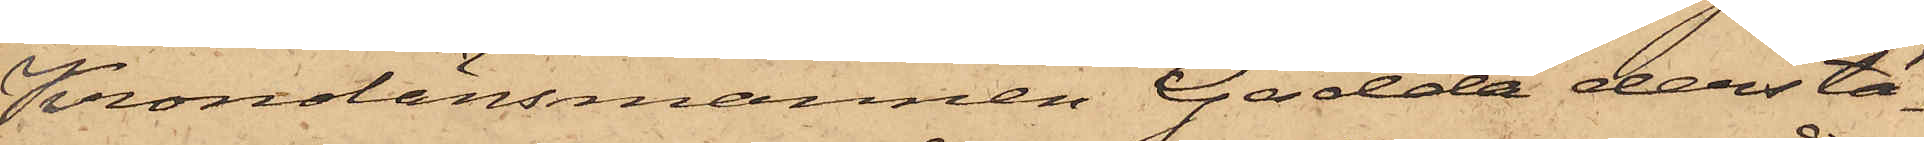Kronolänsmannen Gädda derstä¬
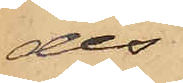des
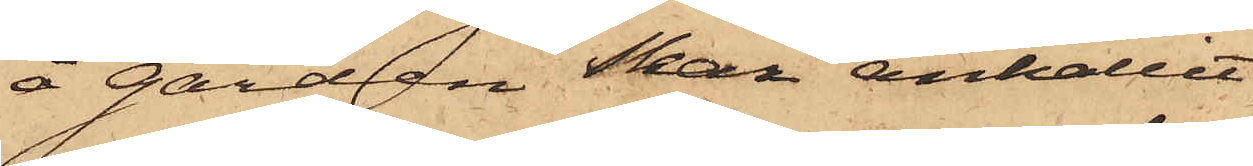å gården Skar anhållit
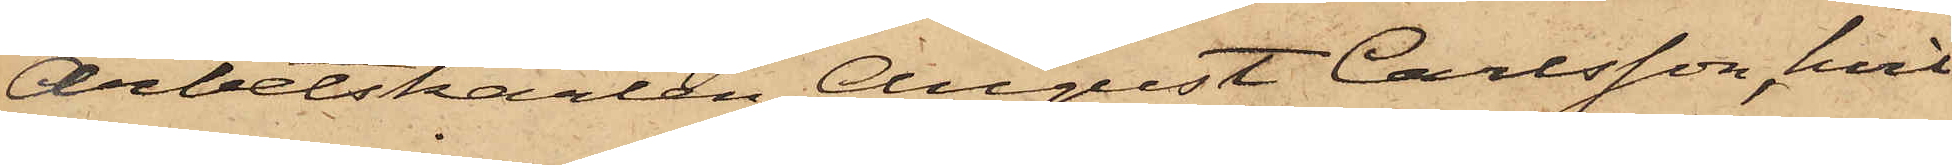Arbetskarlen August Carlsson, hvil¬
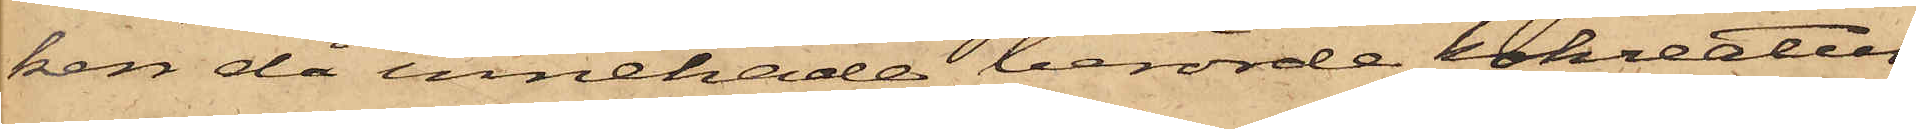ken då innehade berörde kokreatur,
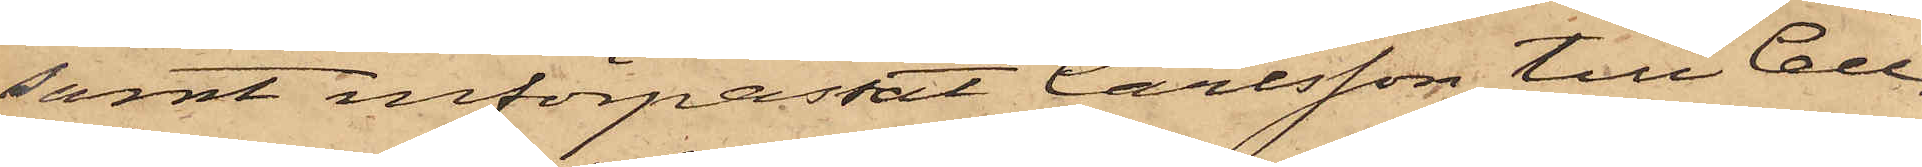samt införpassat Carlsson till Cell¬
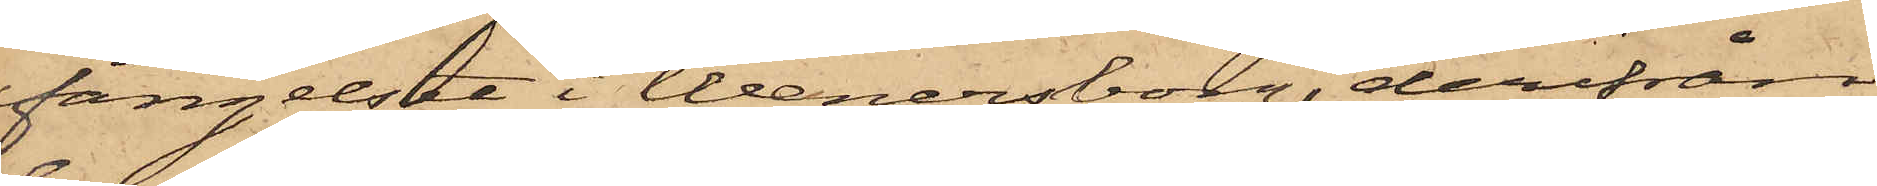fängelset i Wenersborg, derifrån
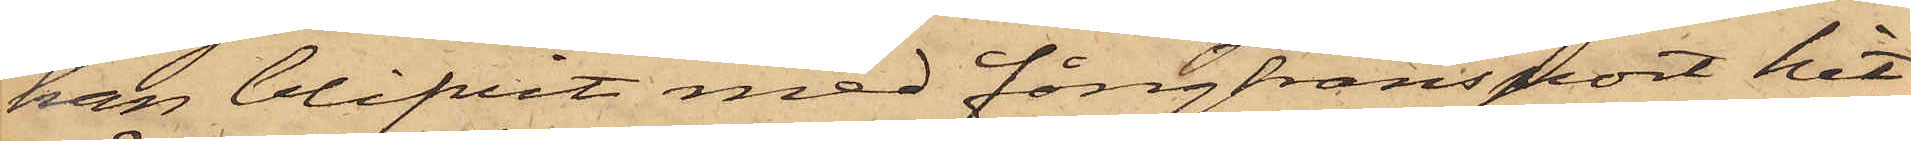han blifvit med fångtransport hit¬
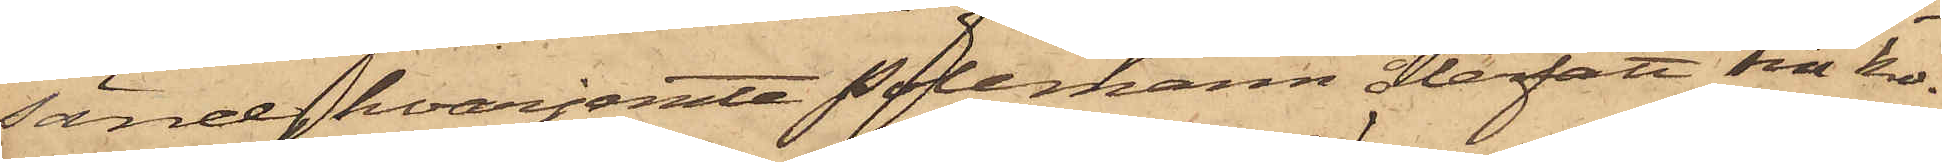sänd, hvarjemte Polemann återfått sin ko.
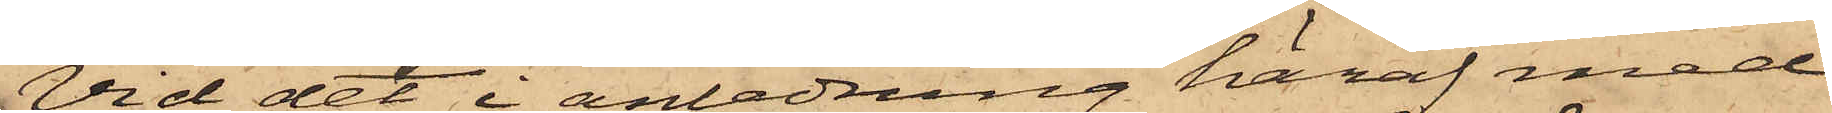Vid det i anledning häraf med
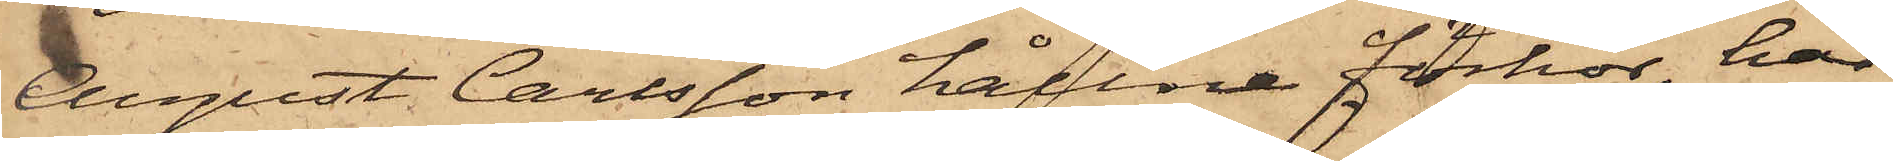August Carlsson hållne förhör, har
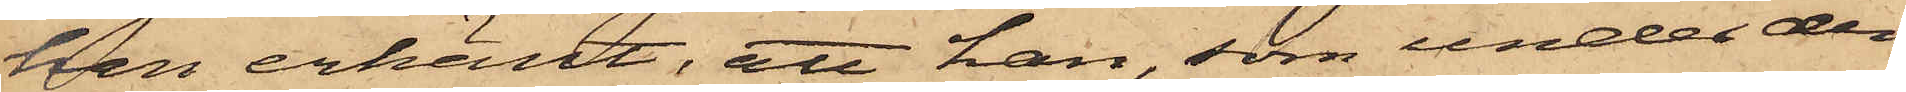han erkänt, att han, som under den
